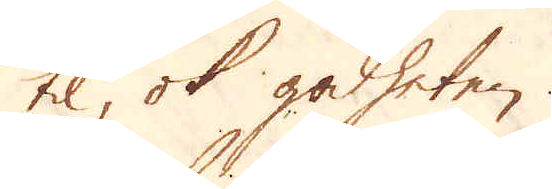til, ok godheten.
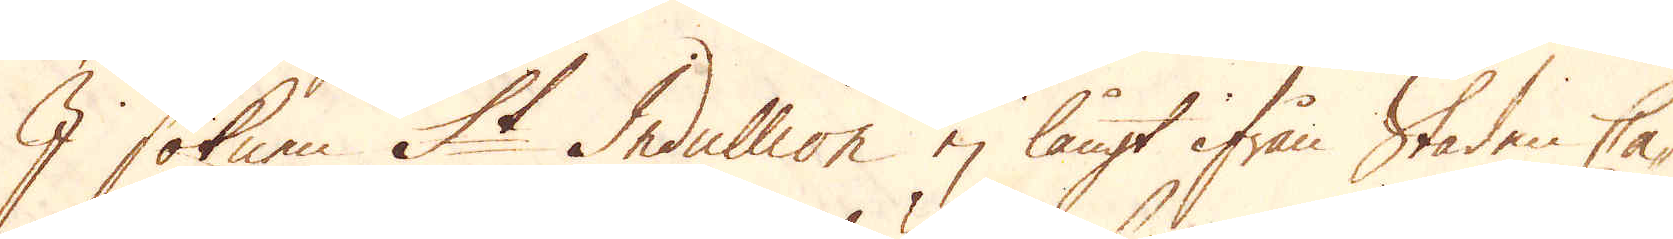I soknen St Indullion ej långt ifrån Staden Ca-
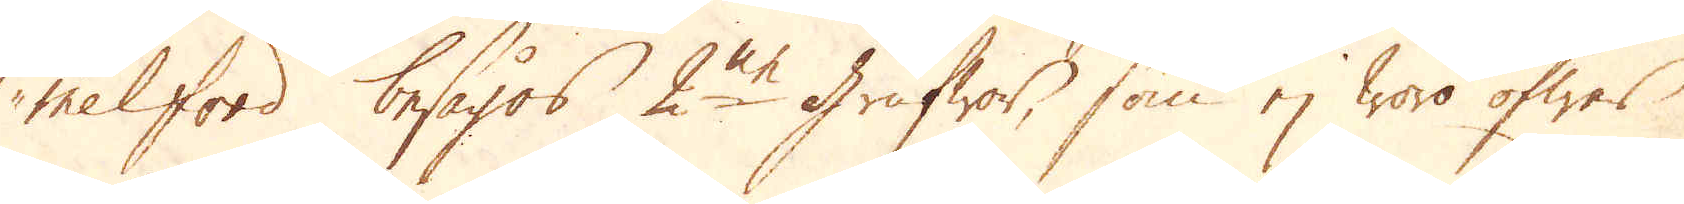melford besågos 2ne grufwor, som ej woro öfwer
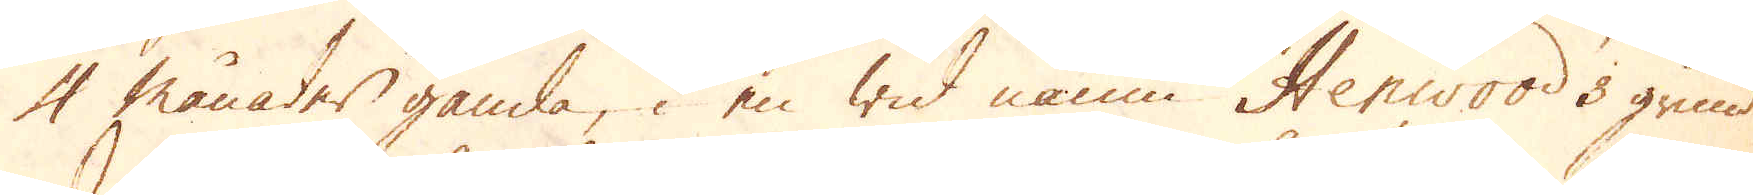4 månader gamla, i en wid namn Henwood's grund.
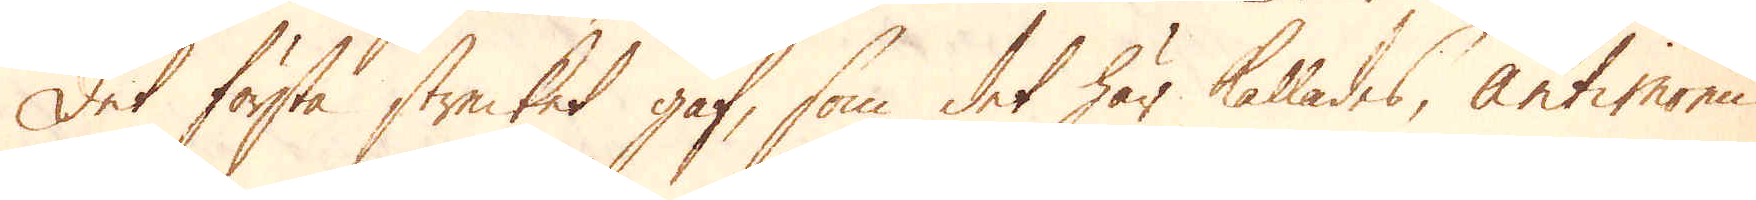Det första strecket gaf, som det här kallades, antimonii
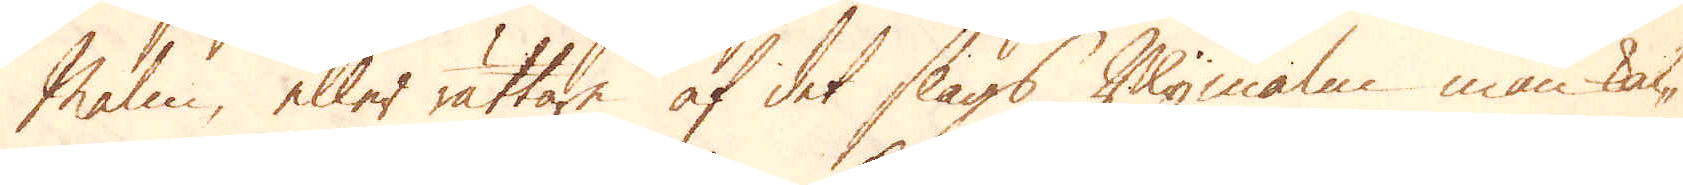Malm, eller rättare af det slags Blymalm man kal-
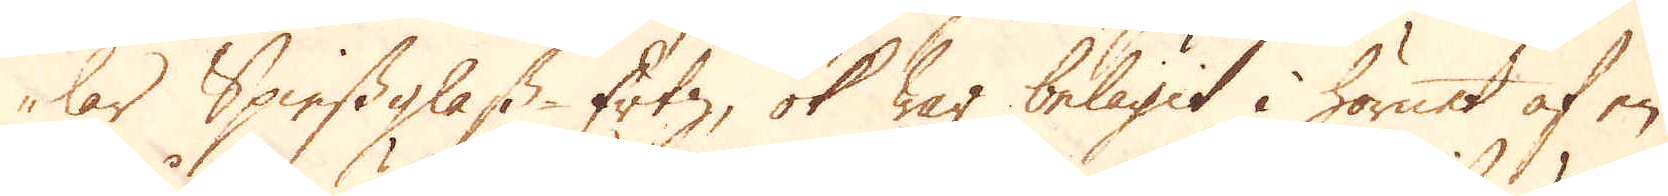lar Spiessglass-Ertz, ok war belägit i hörnet af en
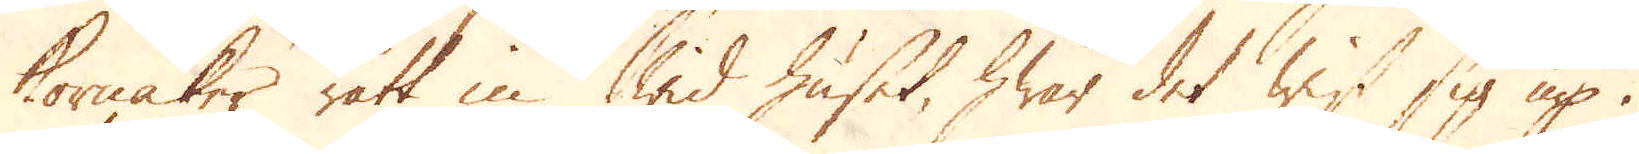kornåker rätt in wid huset, hwar det wist sig up i
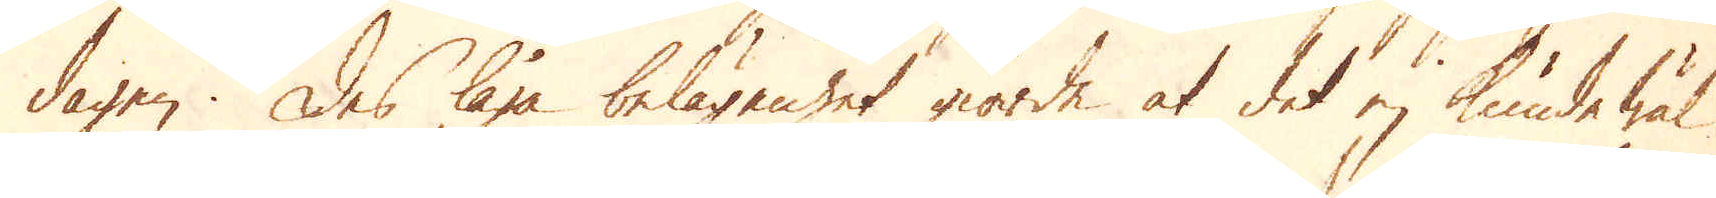dagen. Des låga belägenhet giorde at det ej kunde wäl
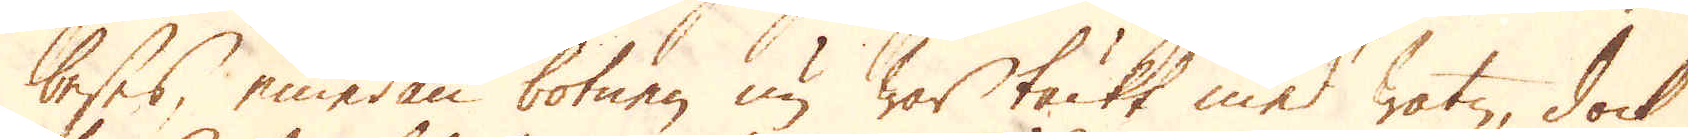beses, emedan botnen nu war täckt med watn, dock
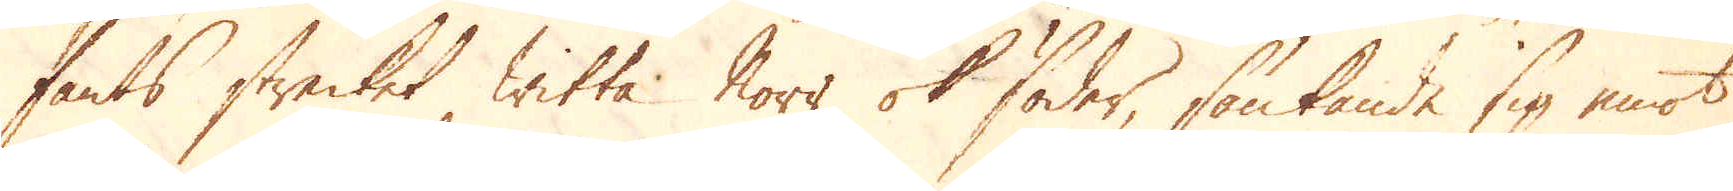fants strecket witta Norr ok söder, sänkande sig emot
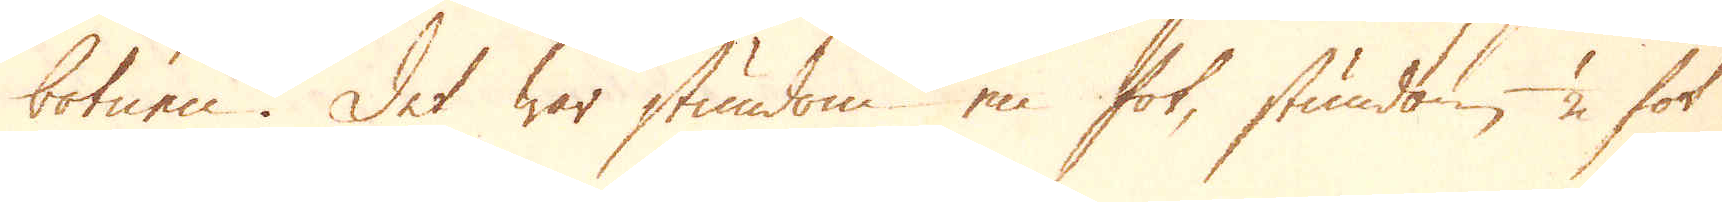botnen. Det war stundom en fot, stundom 1/2 fot
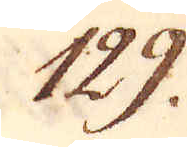129.
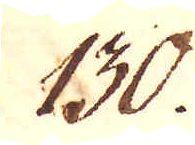130.
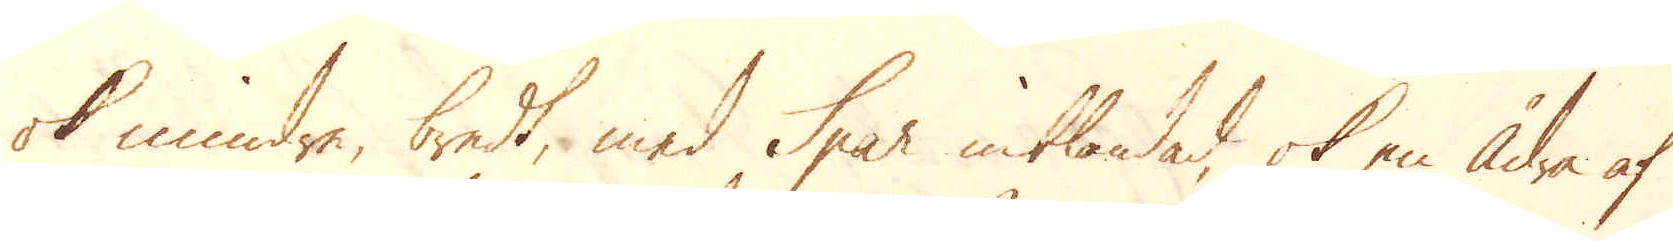ok mindre, bredt, med Spar inblandad, ok en ådra af
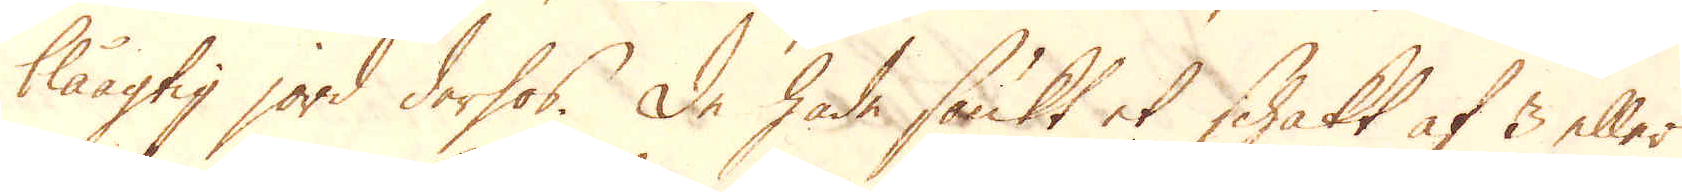blåagtig jord derhos. De hade sänkt et schakt af 3 eller
